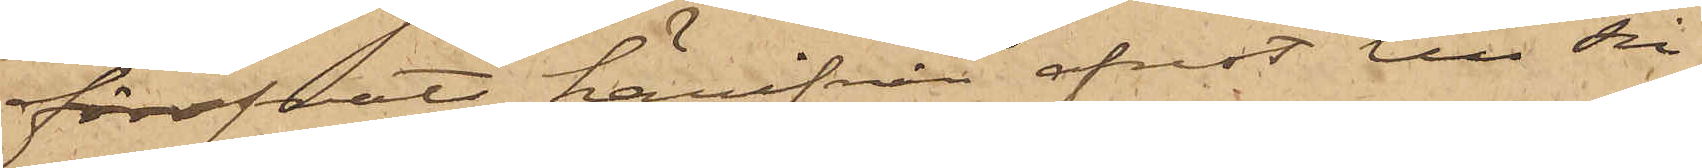föröfvats härifrån afrest till sin
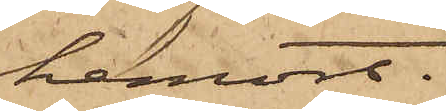hemort.
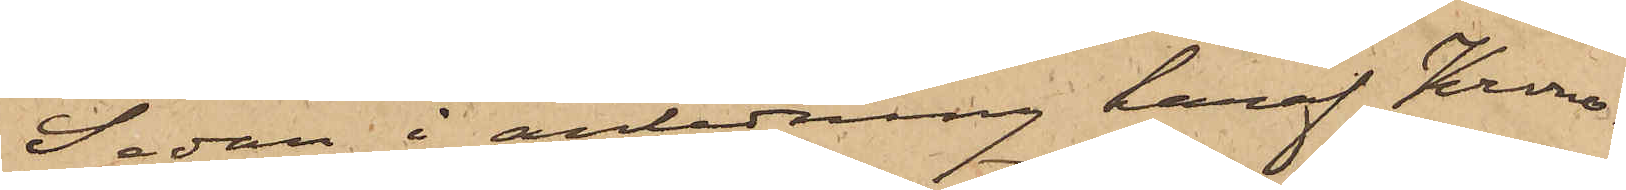Sedan i anledning häraf Krono¬
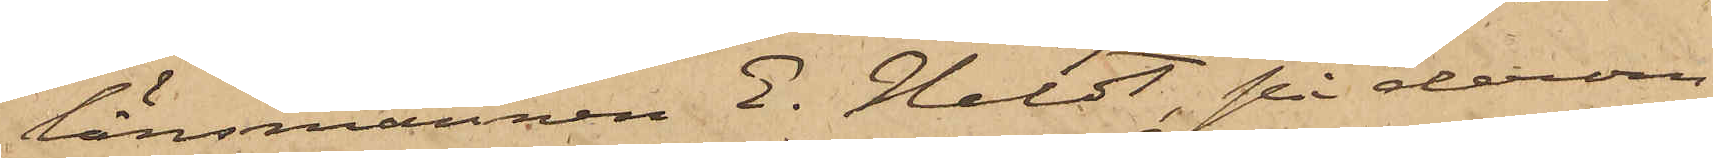länsmannen E. Heldt på derom
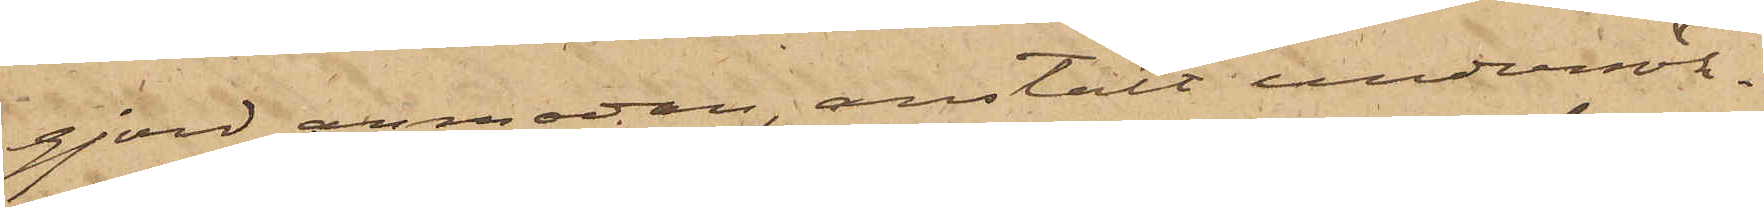gjord anmodan, anstält undersök¬
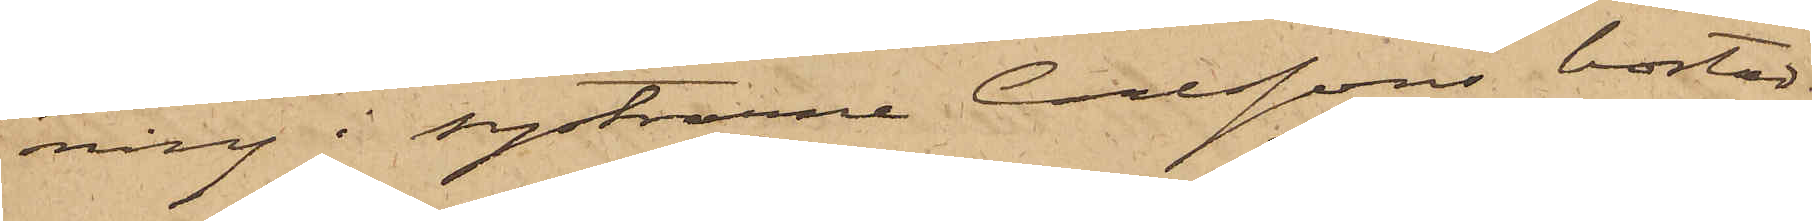ning i systrarne Carlssons bostad
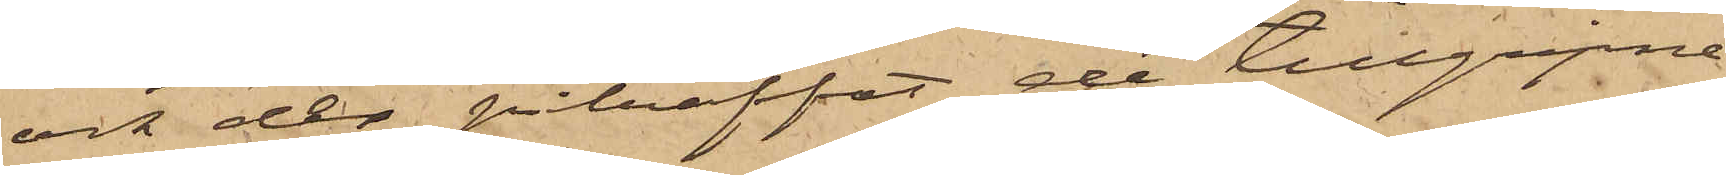och der påträffat de tillgripne
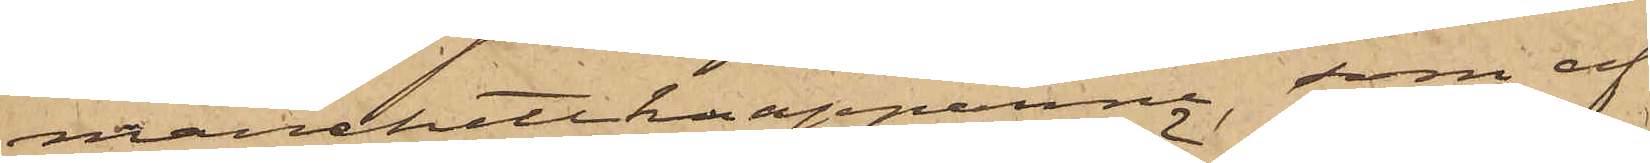manchettknappanna, som af
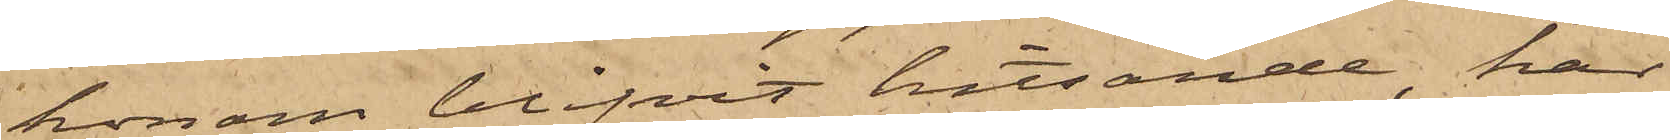honom blifvit hitsände, har
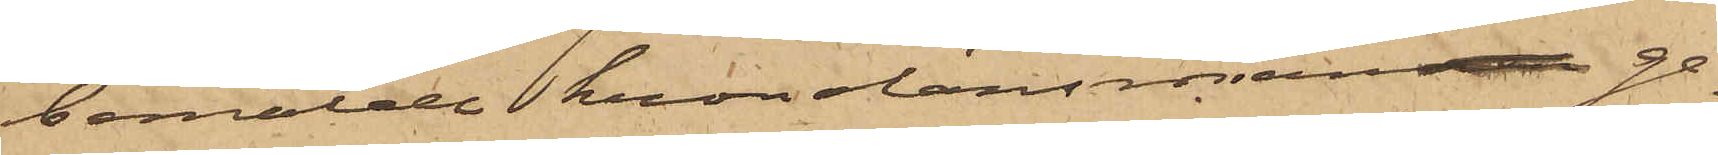bemälde kronolänsman ge¬
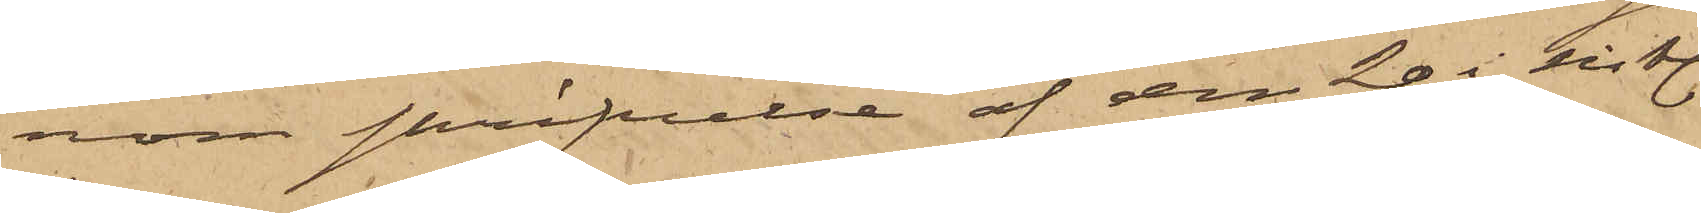nom skrifvelse af den 20 i sistl.
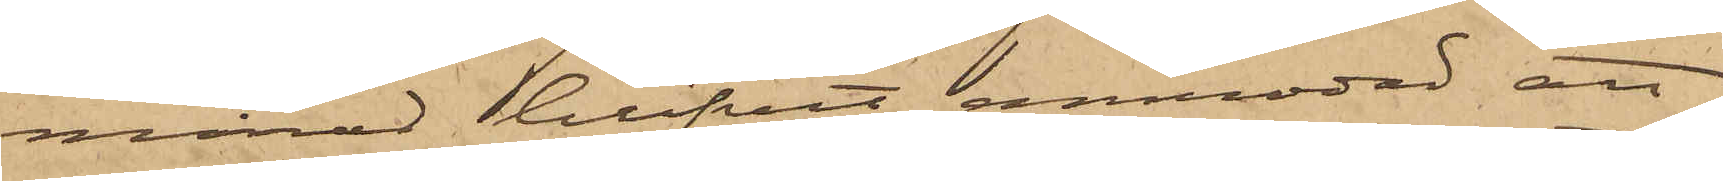månad blifvit anmodad att
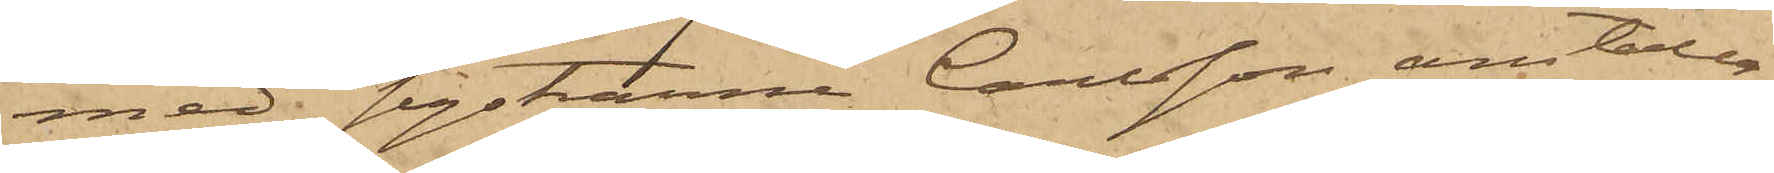med systrarne Carlsson anställa
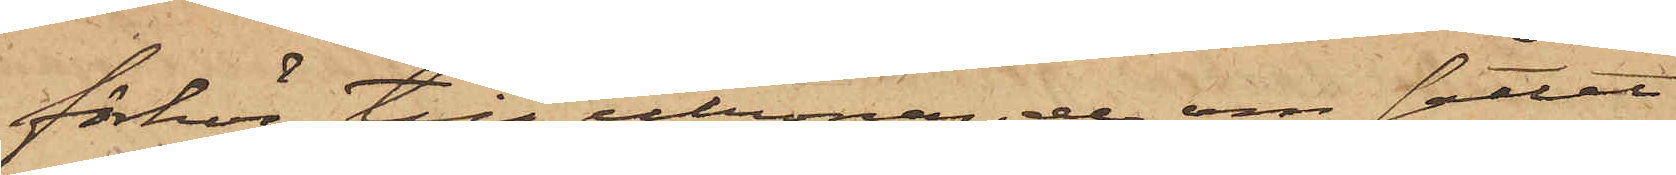förhör till utrönande om sättet
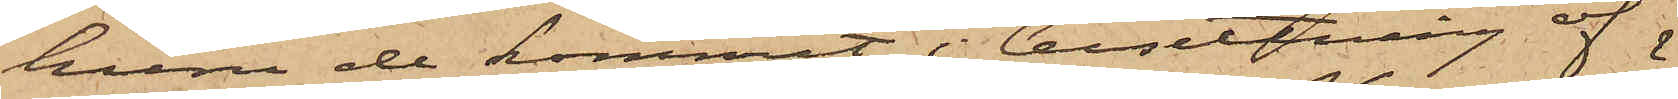huru de kommit i besittning af 
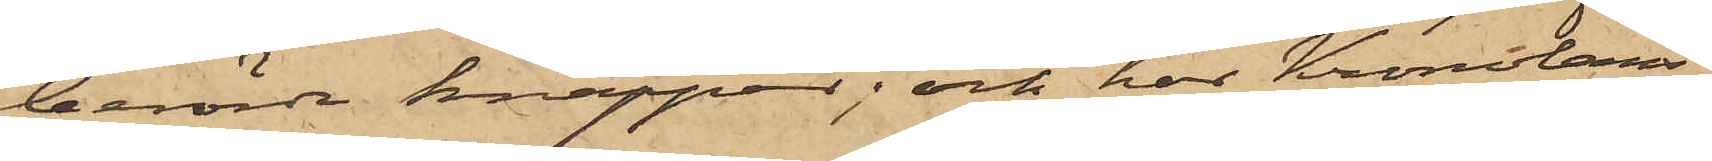berörde knappar; och har Kronoläns¬
